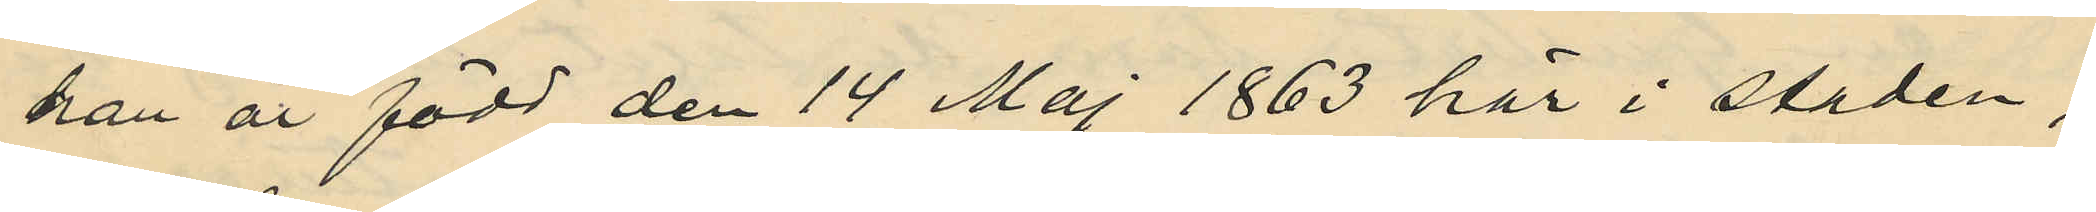han är född den 14 Maj 1863 här i staden;
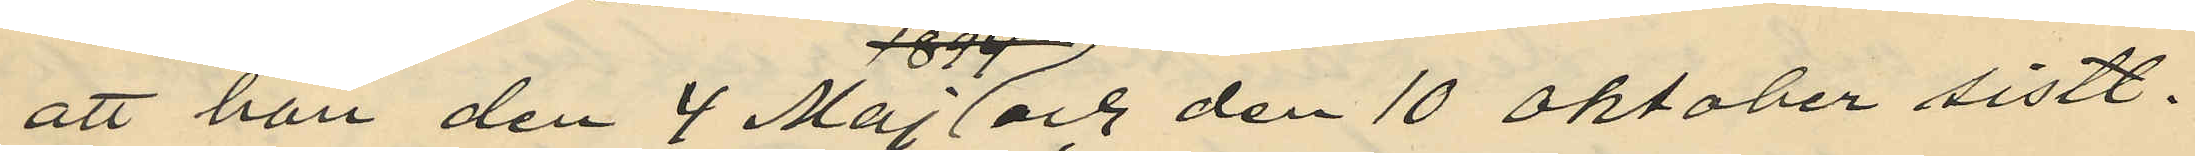att han den 4 Maj och den 10 Oktober sistl.
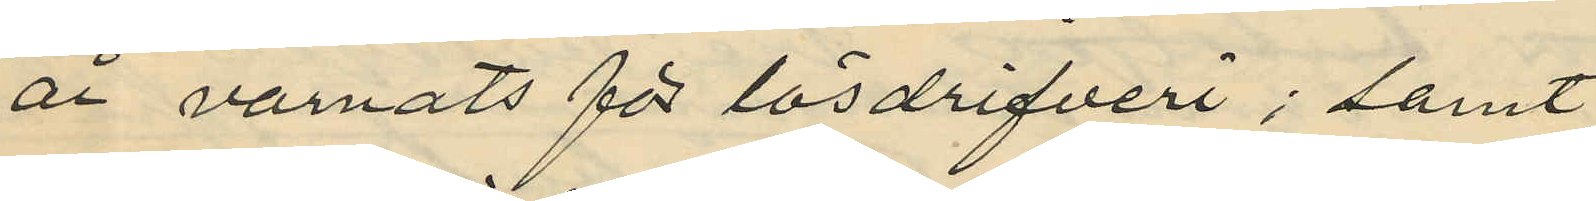år varnats för lösdrifveri; samt
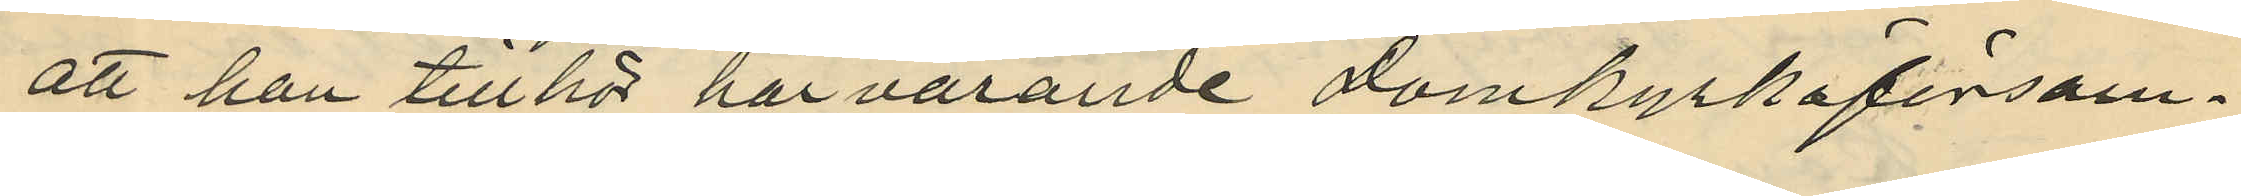att han tillhör här varande Domkyrkoförsam¬
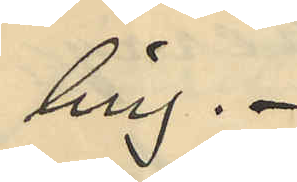ling.
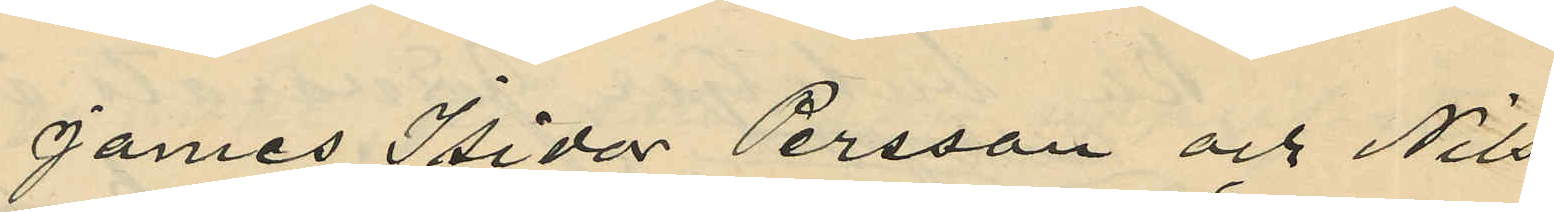James Isidor Persson och Nils
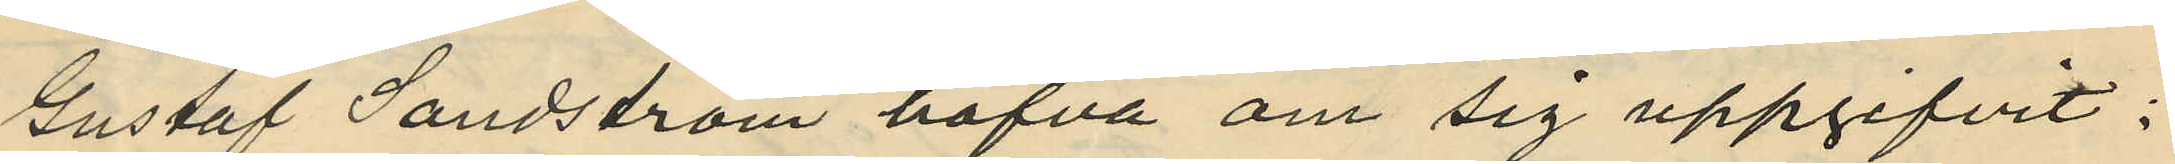Gustaf Sandström hafva om sig uppgifvit:
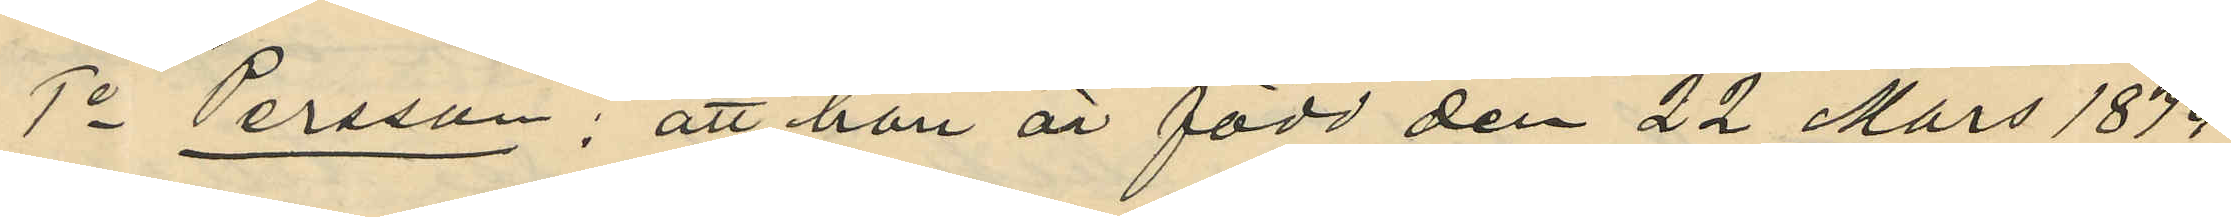1o Persson; att han är född den 22 Mars 1874
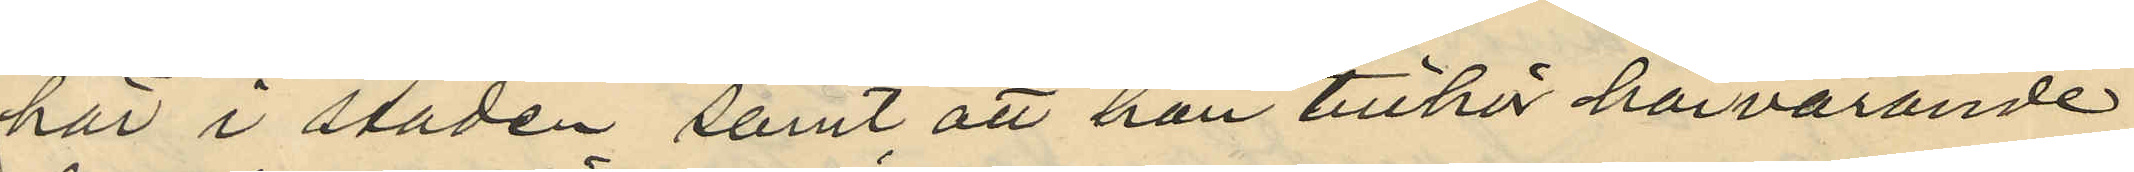här i staden samt att han tillhör härvarande
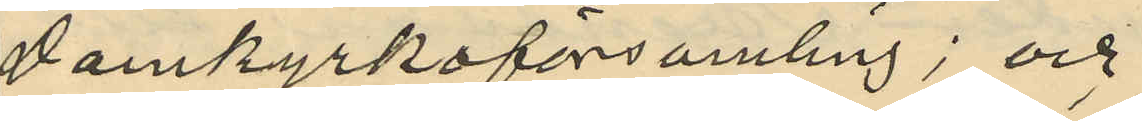Domkyrkoförsamling; och
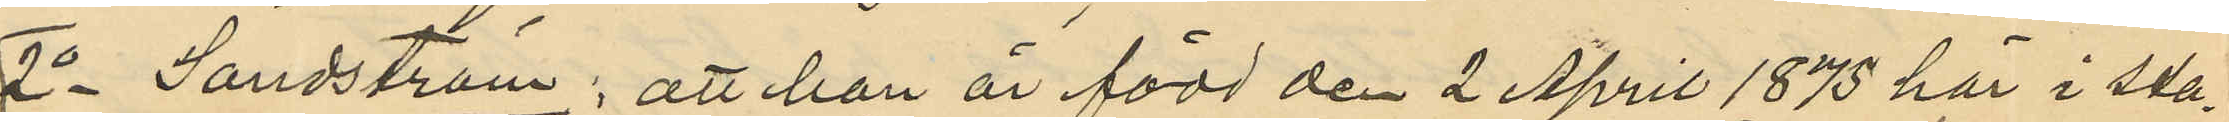2o Sandström: att han är född den 2 April 1875 här i sta¬
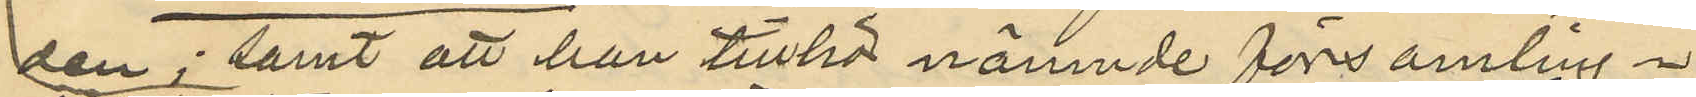den; samt att han tillhör nämnde församling.
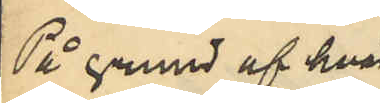På grund af hvad
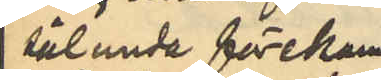sålunda förekom¬
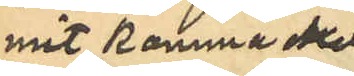mit komma skall
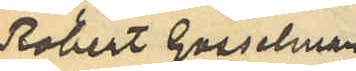Robert Gosselman,
